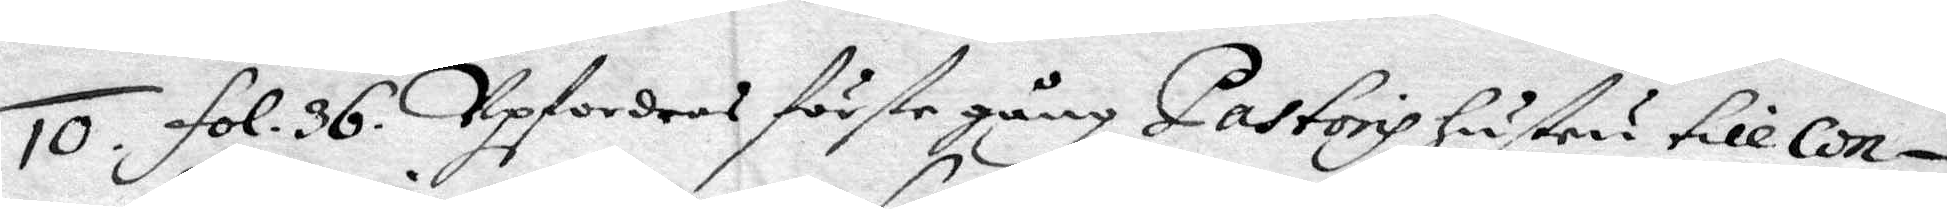10. fol. 36. Upfordras förste gång Pastoris hustru till con¬
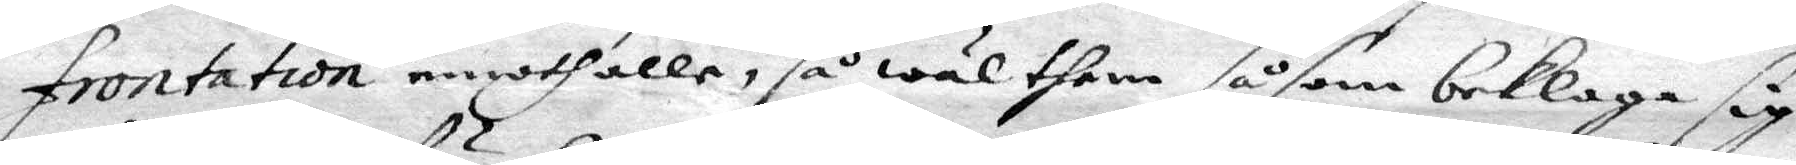frontation emoth alle, så wäl them såsom beklaga sig
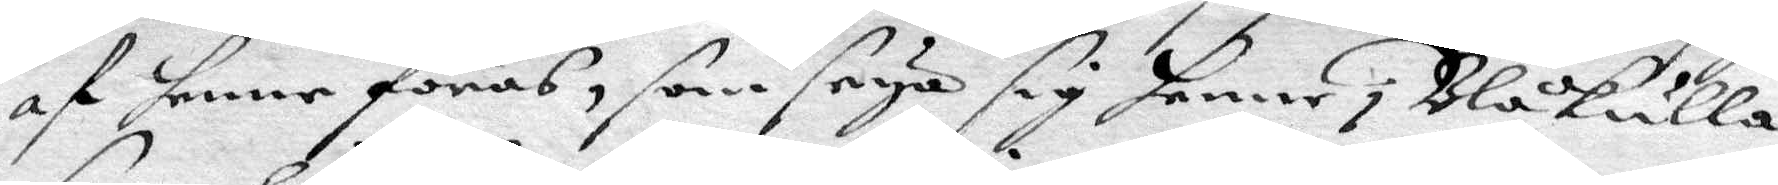ag henne föras, som seya sig henne i Blåkulla
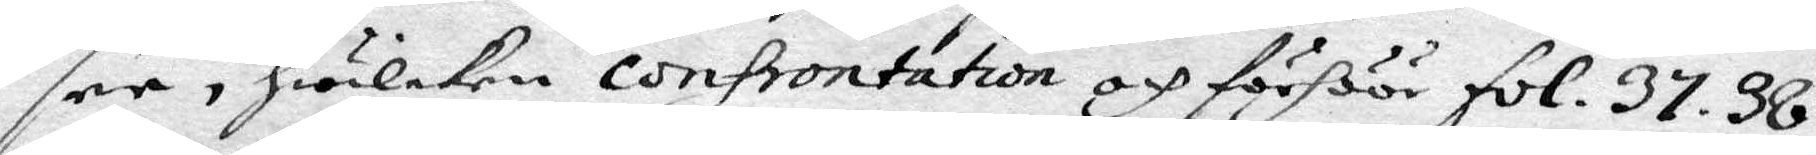see, hwilken confrontation och förhöör fol. 37. 38.
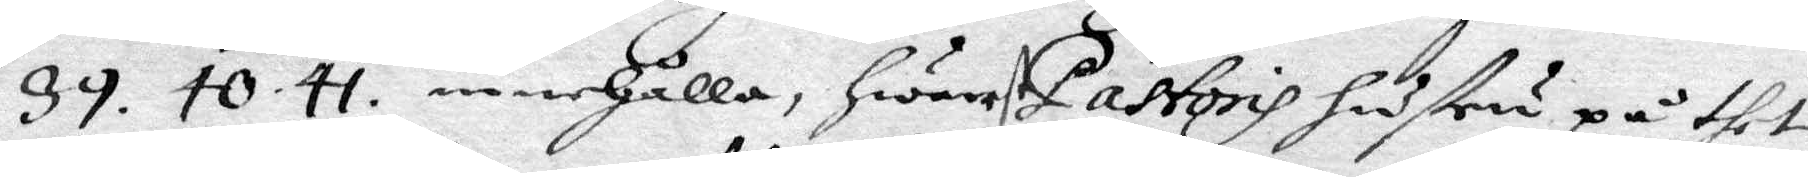39. 40. 41. innhålla, hwarest Pastoris hustru på thet
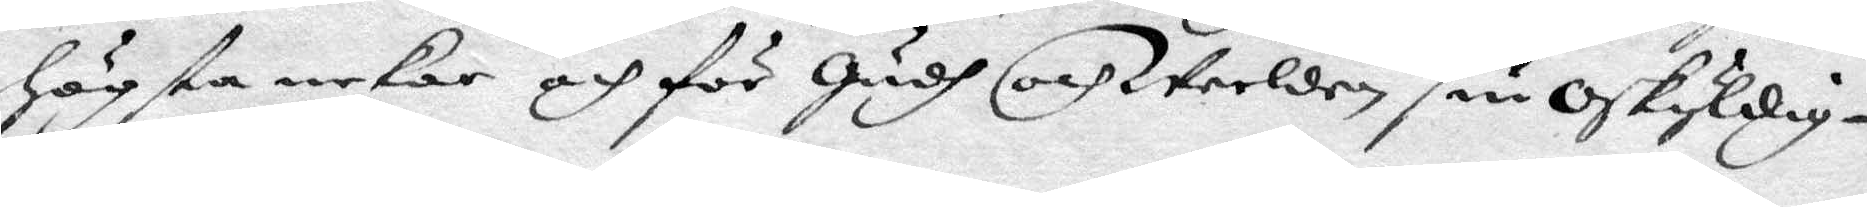högsta nekar och för Gush och werlden sin Oskyldig¬
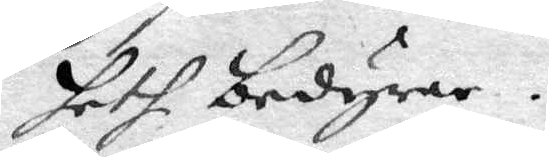heth bedyrar.
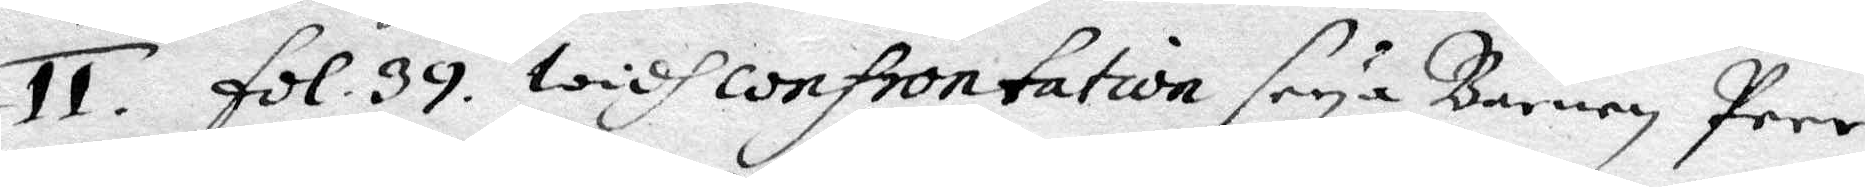11. fol. 39. widh confrontation seya barnen Peer
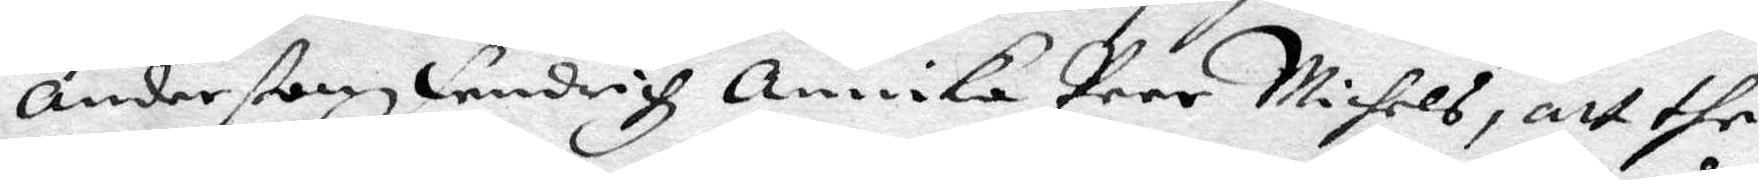Anderßon fendrich Annika Peer Michels, att the
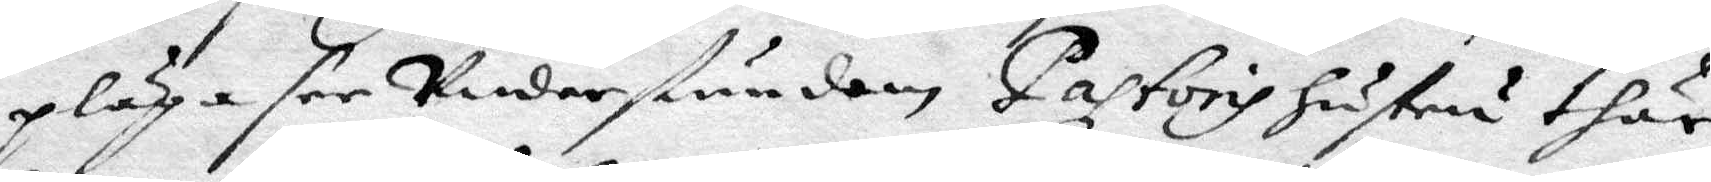pläga see understundom Pastoris hustru thär,
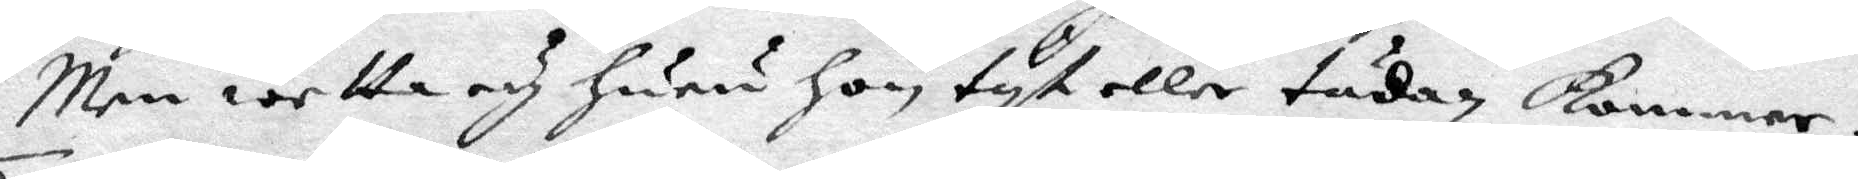Men wetta och huru hon tyt eller tädan kommer.
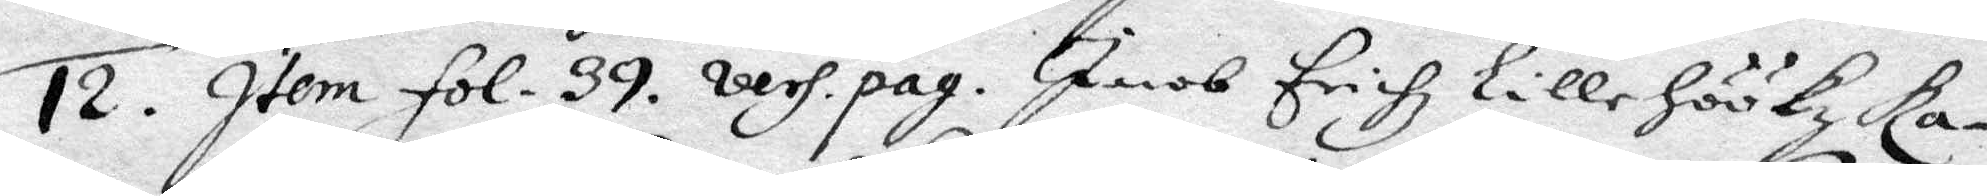12. Item fol. 39 vers. pag. Jacob Erichz Lillehöökz Ka¬
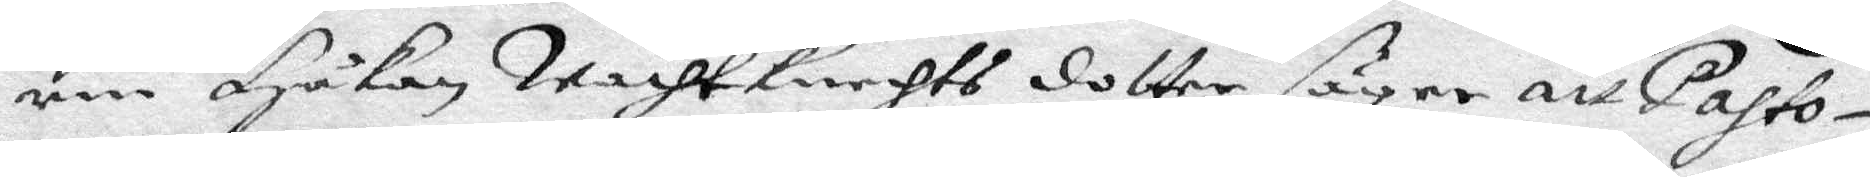rin Håkan wachtknehts dotter  säger att pasto¬
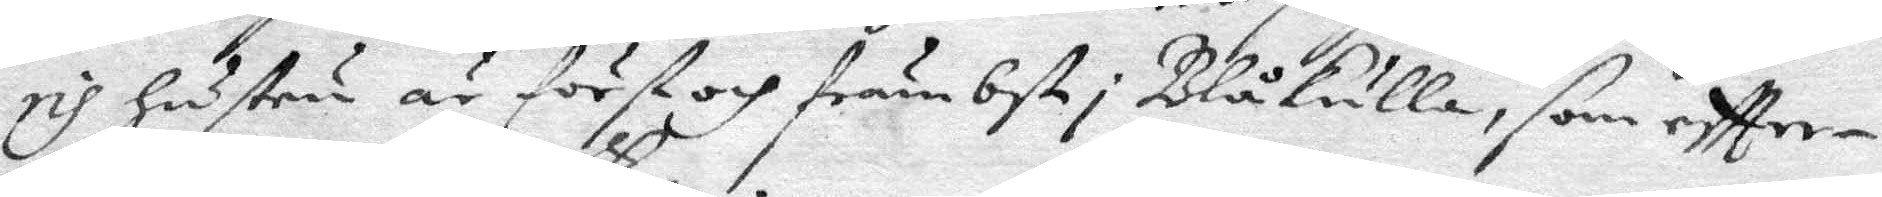ris hustru är förstog främbst i Blåkulla, som eftter¬
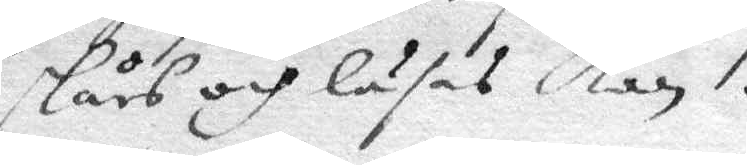stås och läses kan.
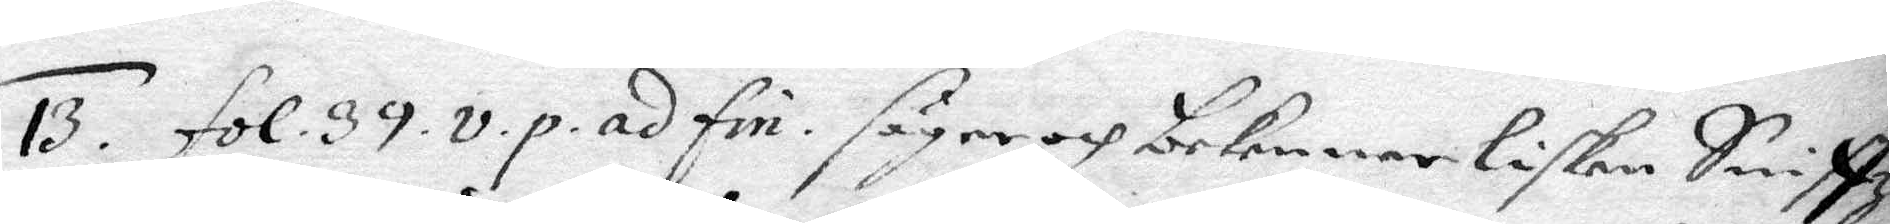13. fol. 39. v.p. ad fin. säger och bekommer Lisken Sniffz
